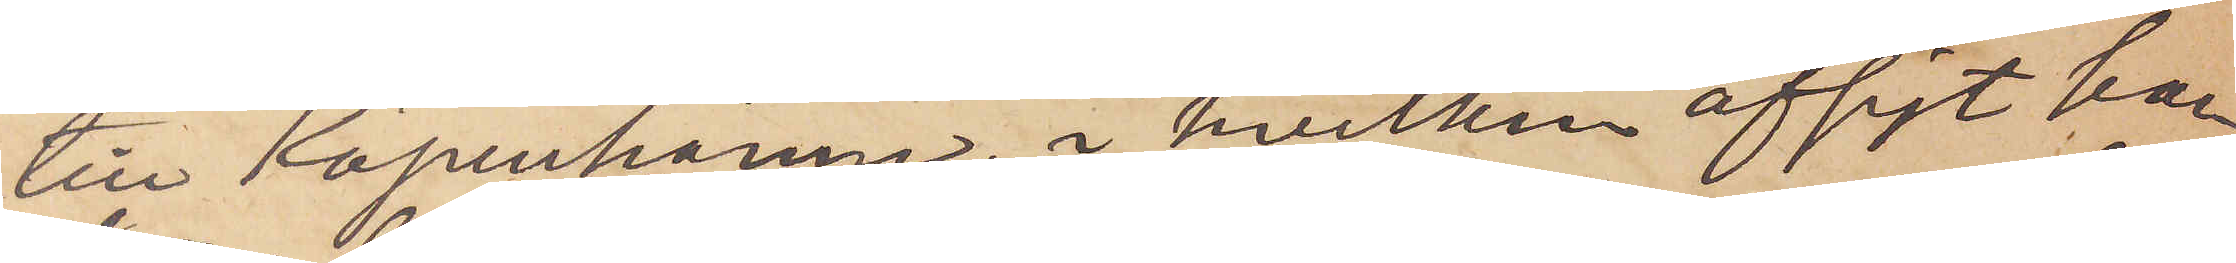till Köpenhamn, i hvilken afsigt han
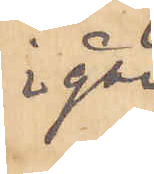i går
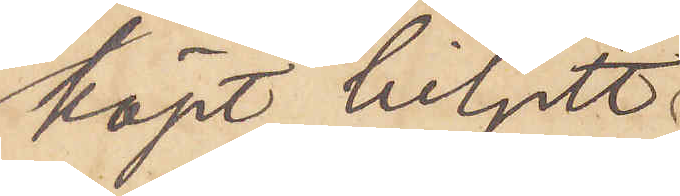köpt biljett
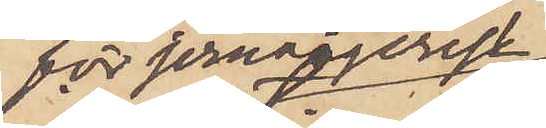för jernvägsresa
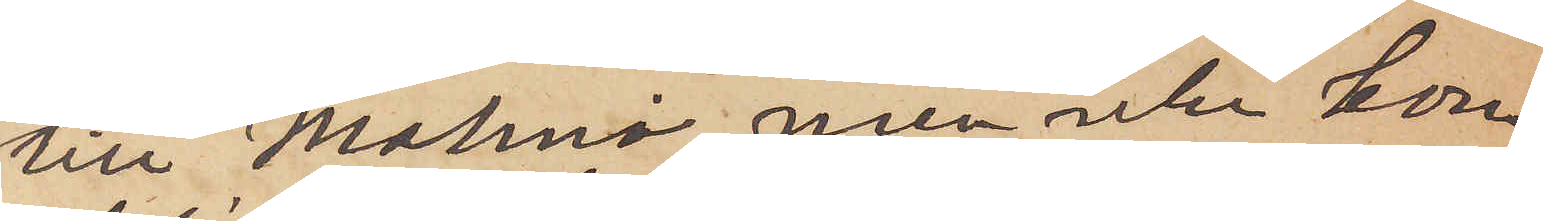till Malmö, men icke kom¬
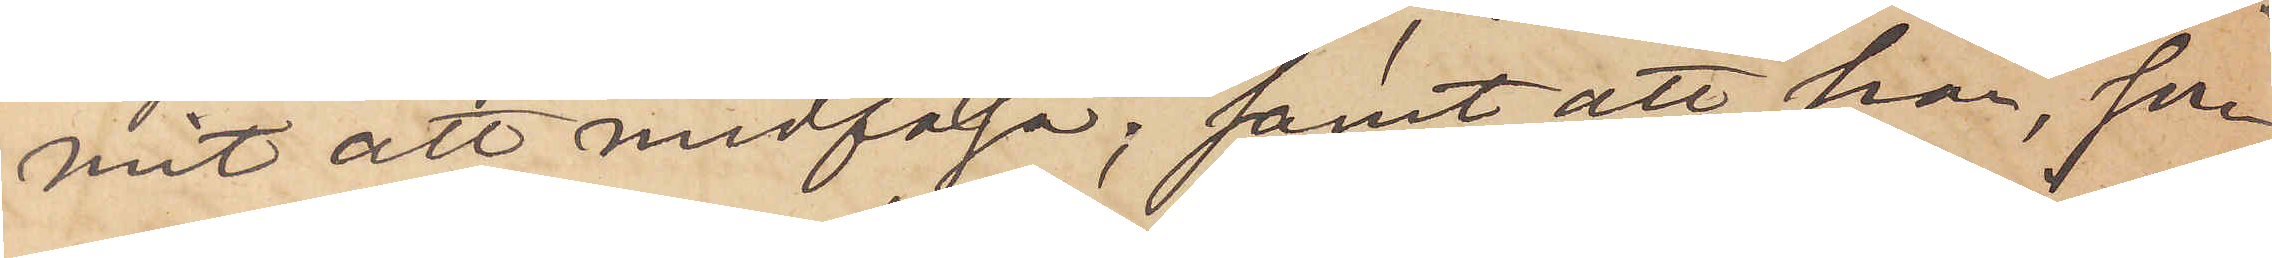mit att medfölja; samt att han, som
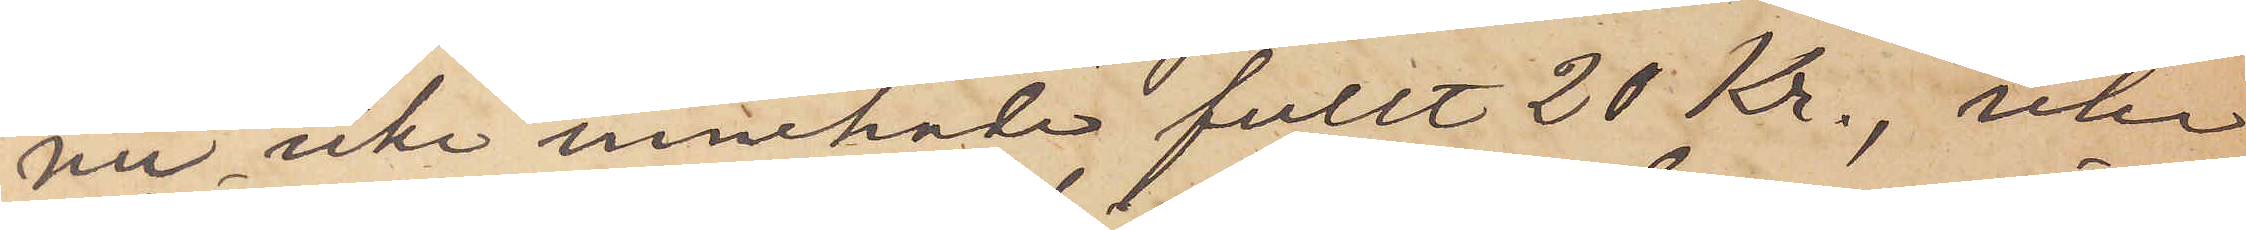nu icke innehade fullt 20 Kr., icke
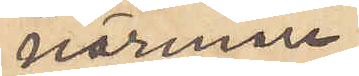närmare
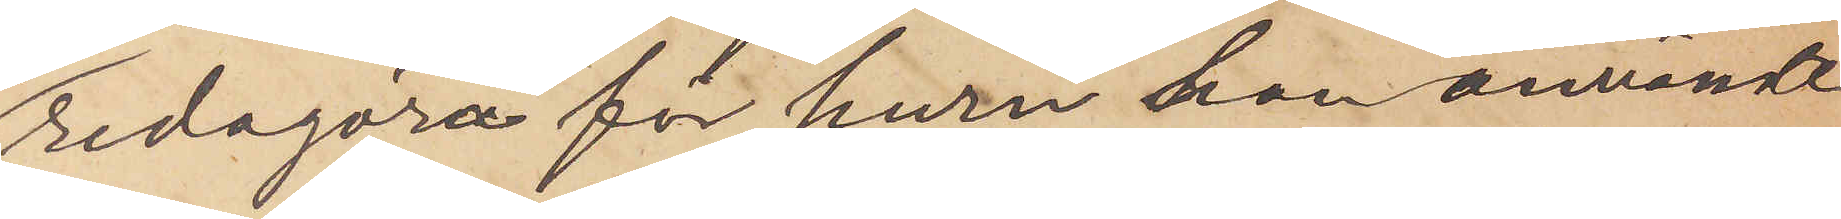redogöra för huru han användt
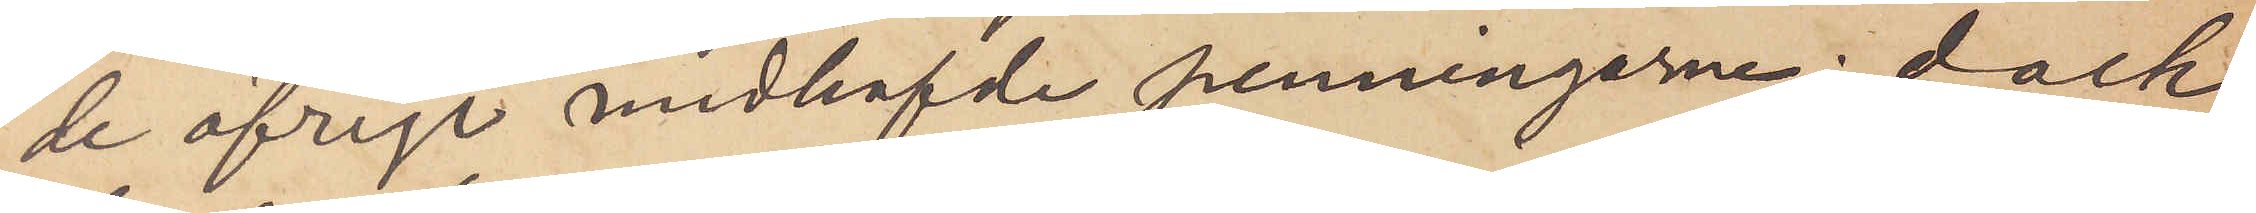de öfriga medhafde penningarne; dock
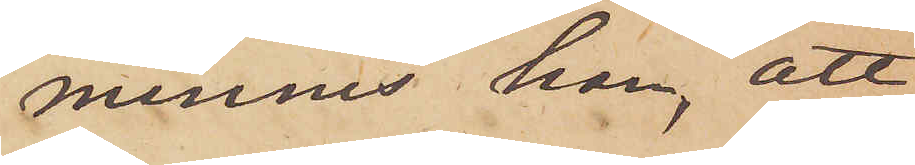minnes han, att
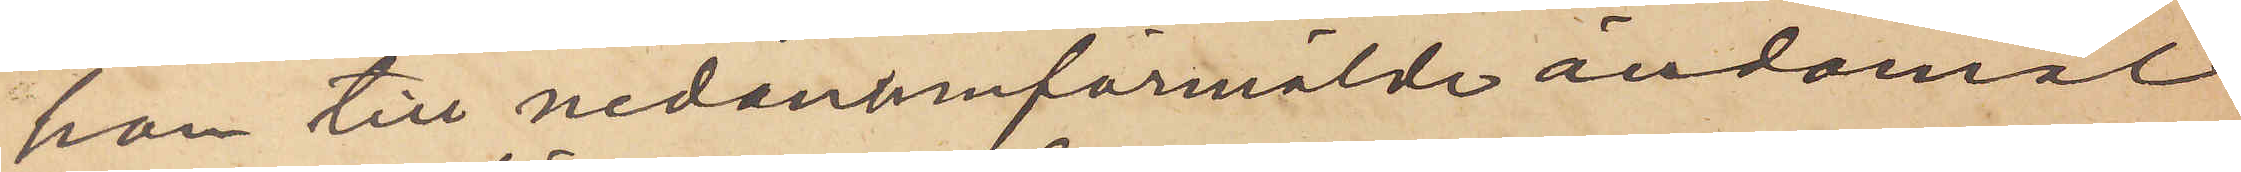han till nedanomförmälde ändamål
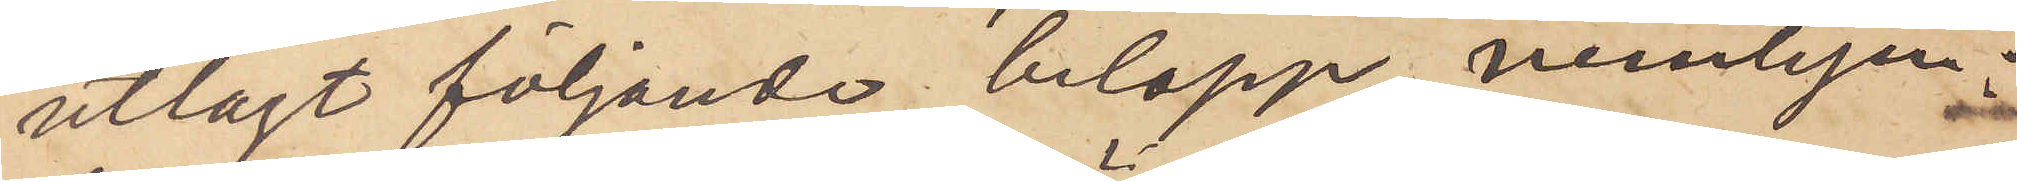utlagt följande belopp, nemligen:
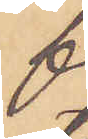för resan omkring
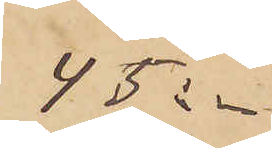45:-
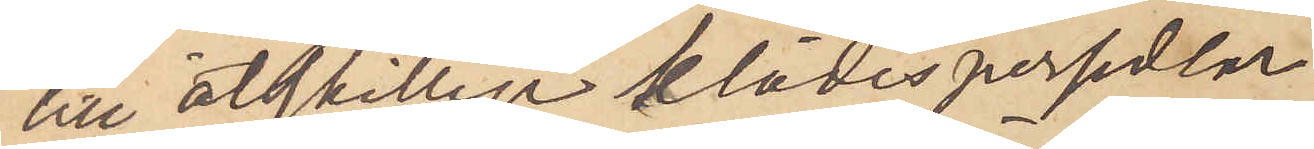till åtskilliga klädespersedlar
